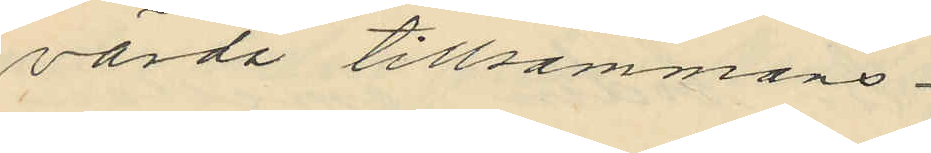värda tillsammans
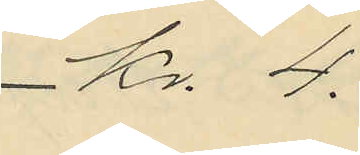Kr. 4.
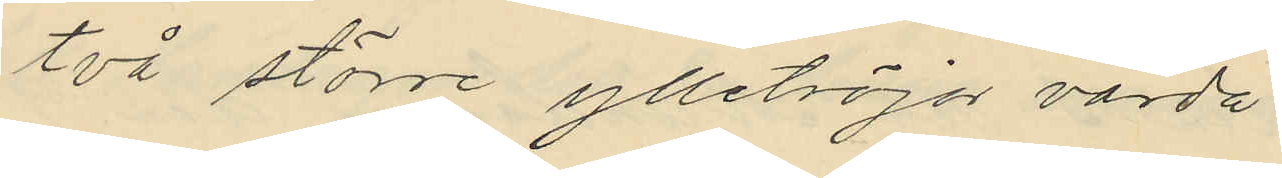två större ylletröjor värda
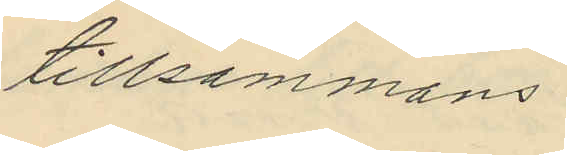tillsammans
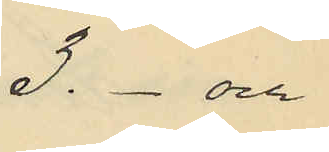3.- och
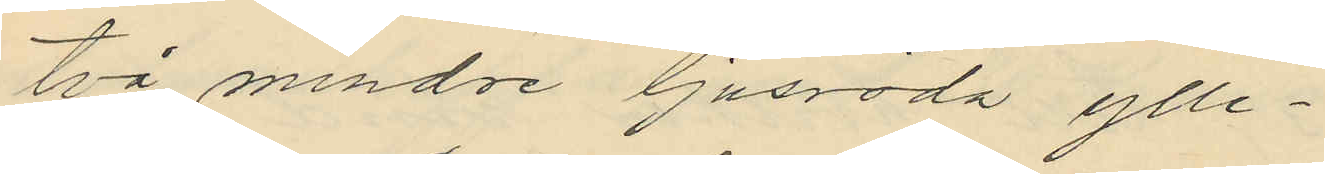två mindre ljusröda ylle¬
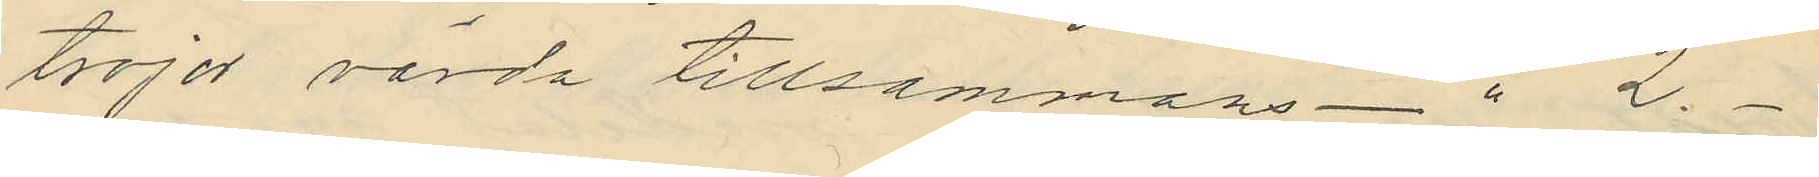trojor värda tillsammans - " 2.-
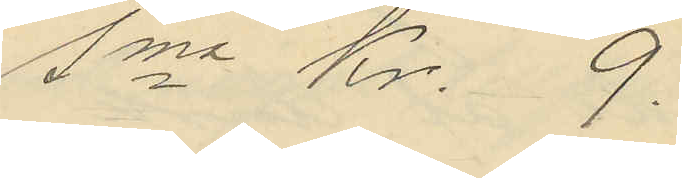Sma Kr. 9.
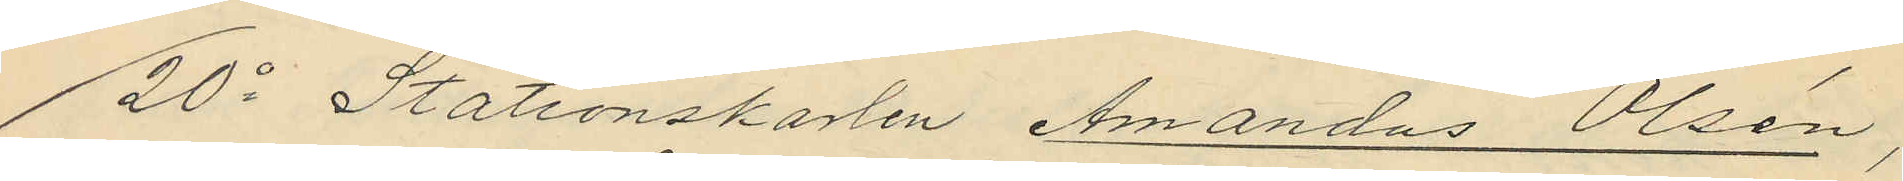20o Stationskarlen Amandus Olsén,
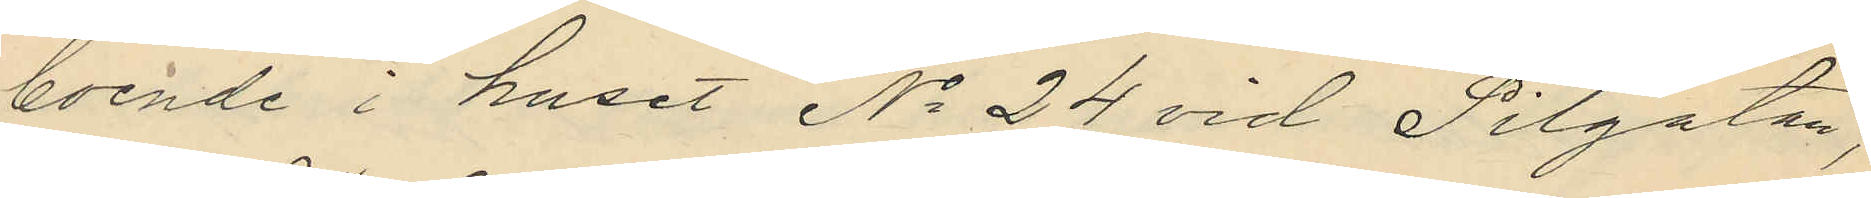boende i huset No 24 vid Pilgatan,
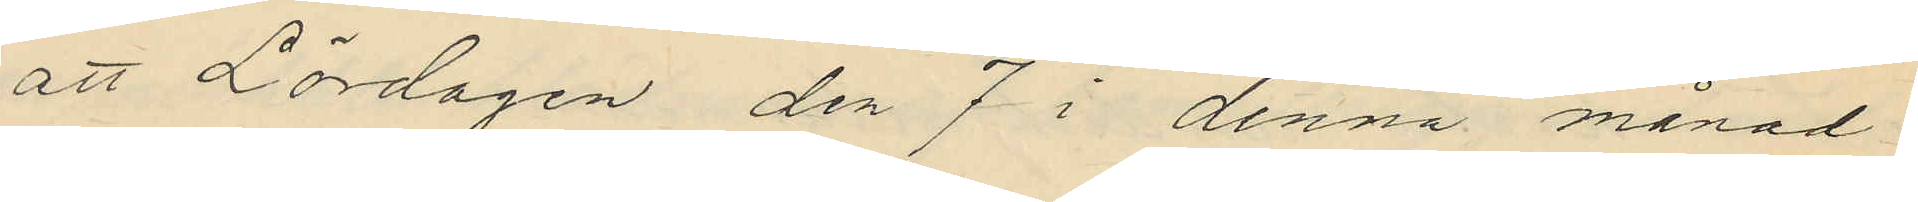att Lördagen den 7 i denna månad
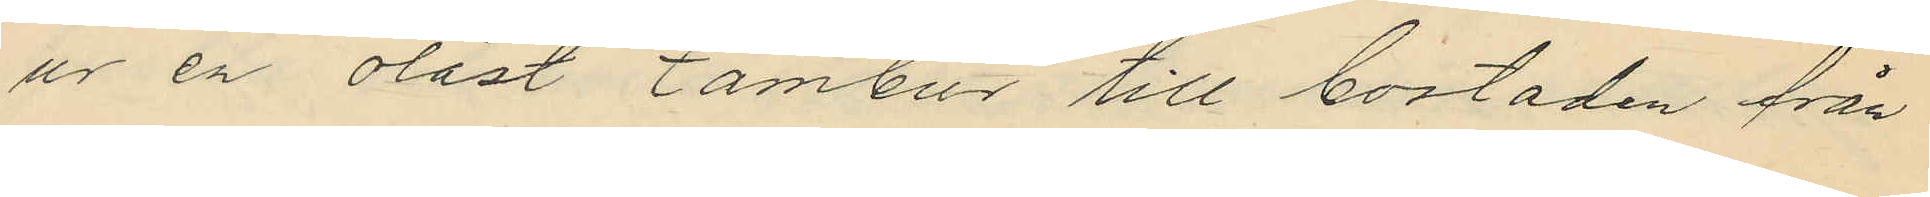ur en olåst tambur till bostaden från
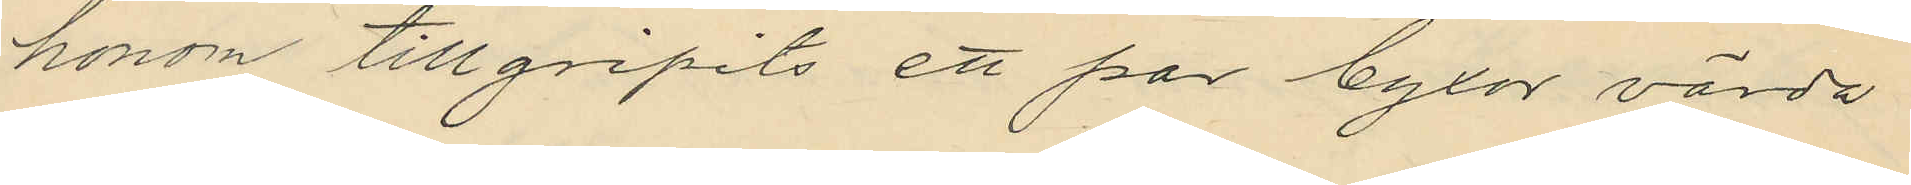honom tillgripits ett par byxor värda
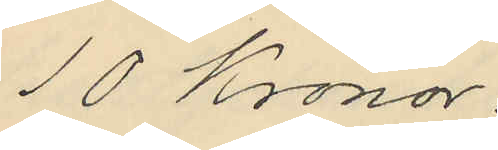10 Kronor;
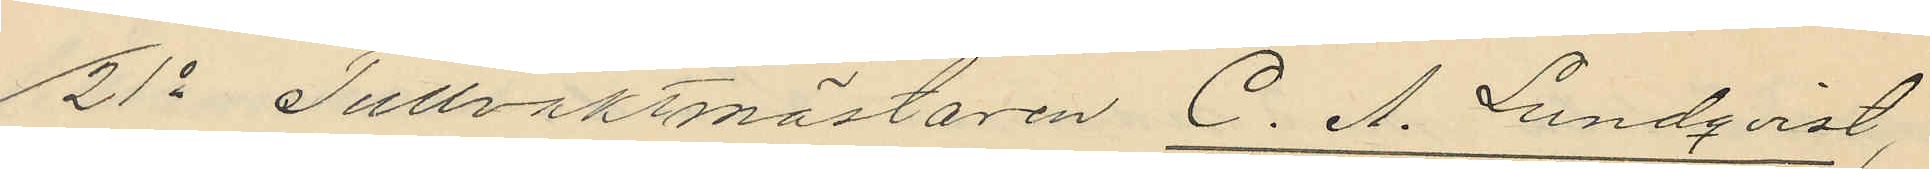21o Tullvaktmästaren C. A. Lundqvist,
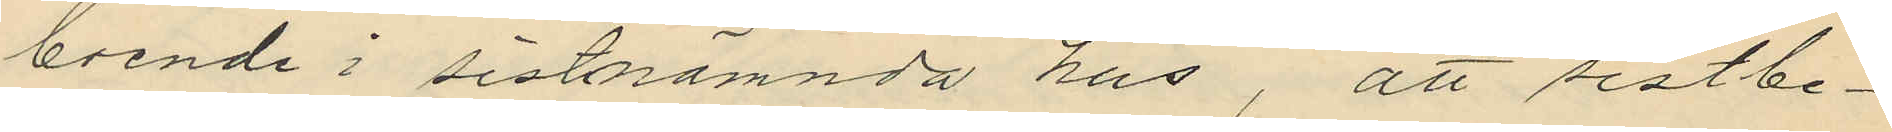boende i sistnämnda hus, att sistbe¬
